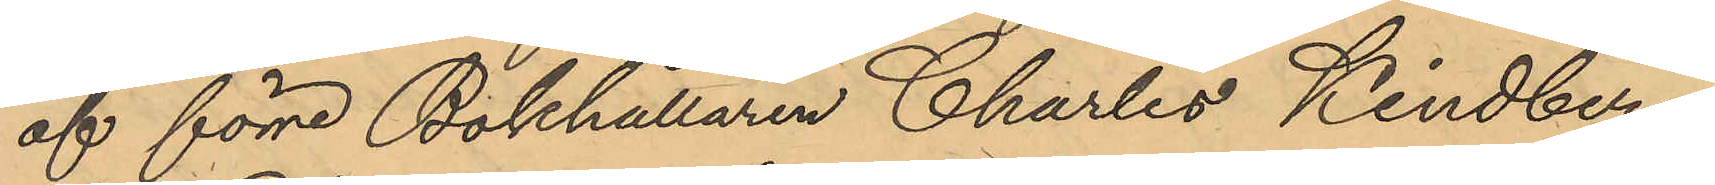af förre Bokhållaren Charles Kindberg,
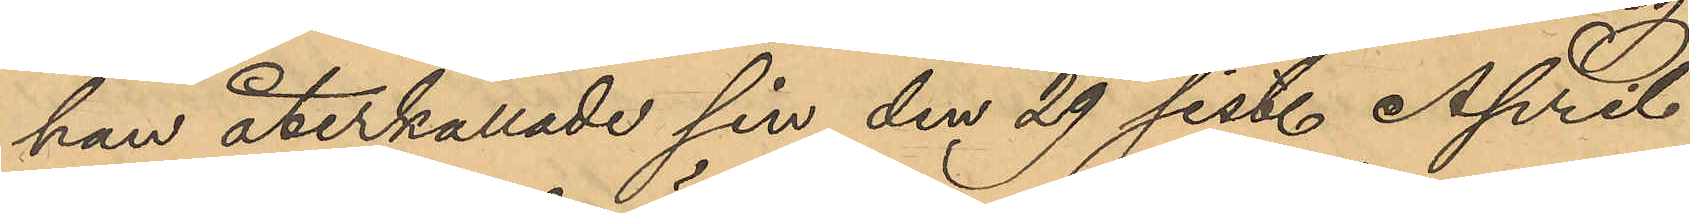han återkallade sin den 29 sist. April
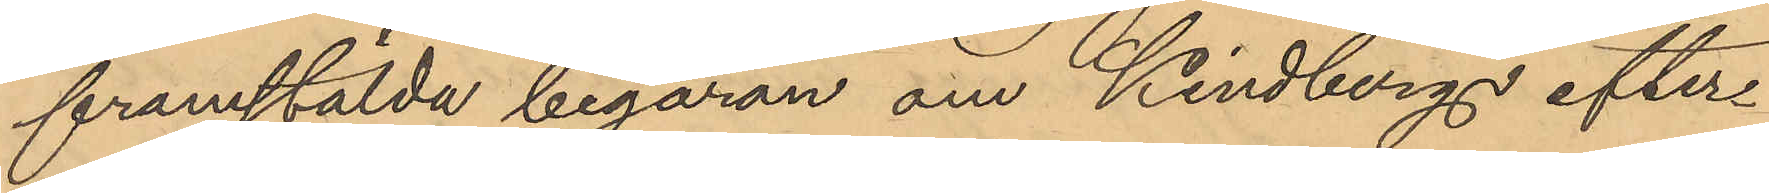framstälda begäran om Kindbergs efter¬
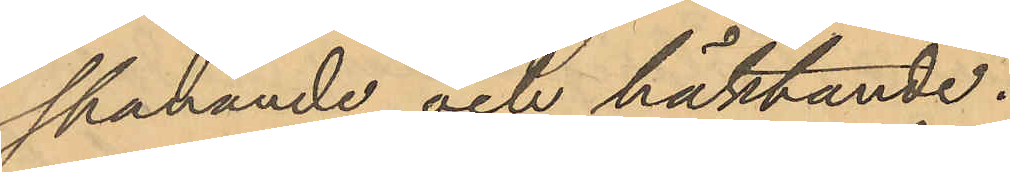spanande och häktande.
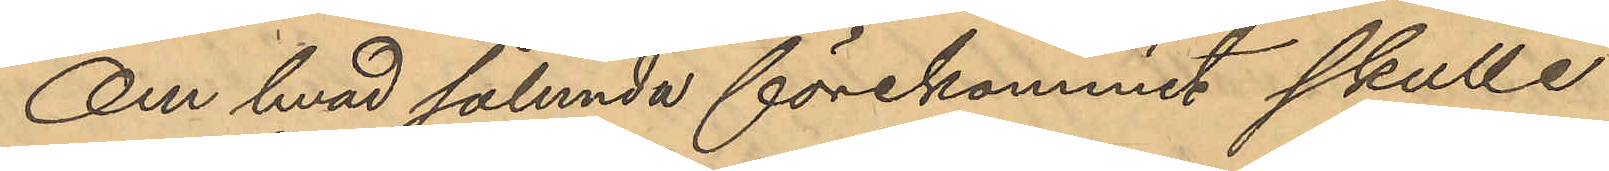Om hvad sålunda förekommit skulle
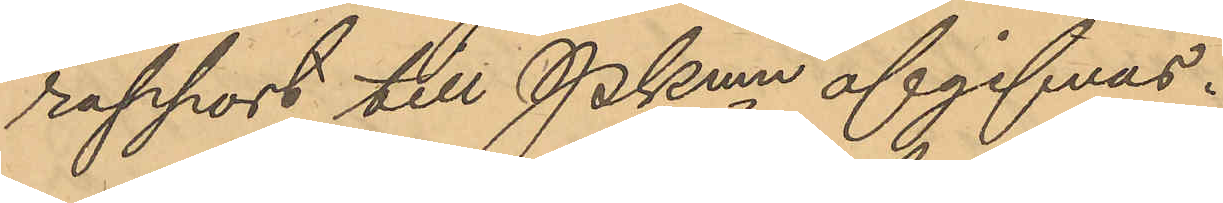rapport till Pkmn afgifvas.
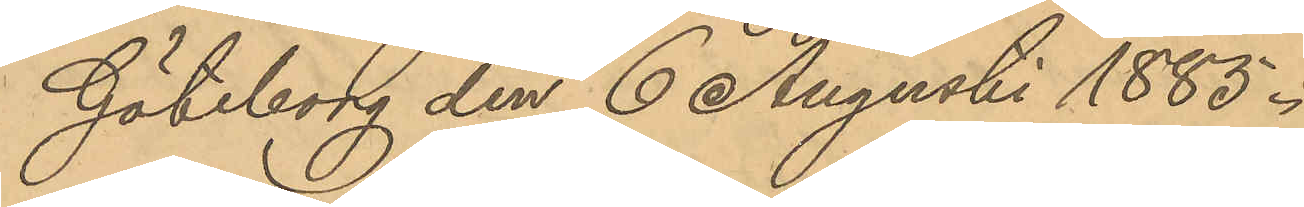Göteborg den 6 Augusti 1885.
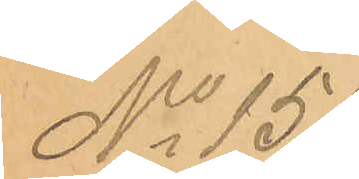No 151
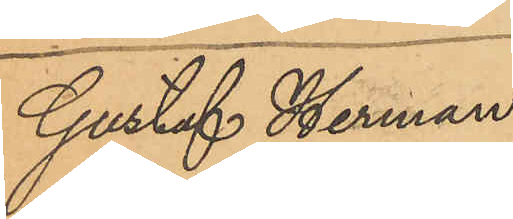Gustaf Herman
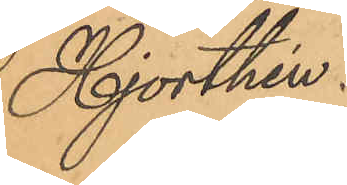Hjorthén.
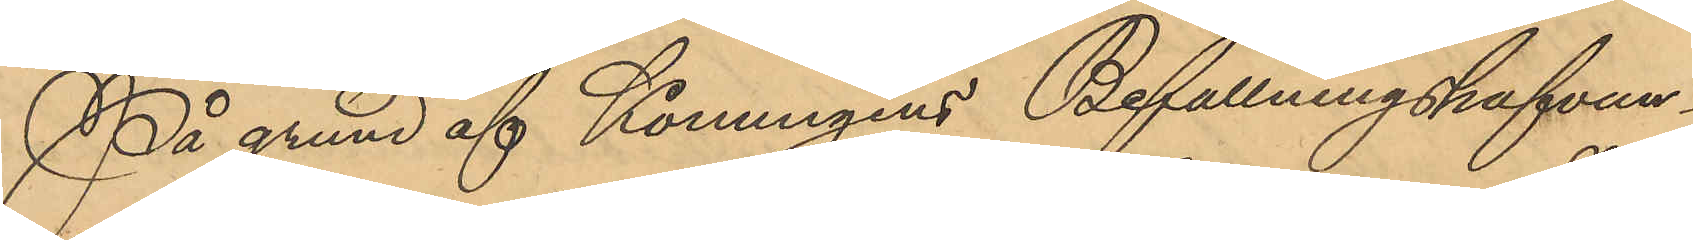På grund af Konungens Befallningshafvan¬
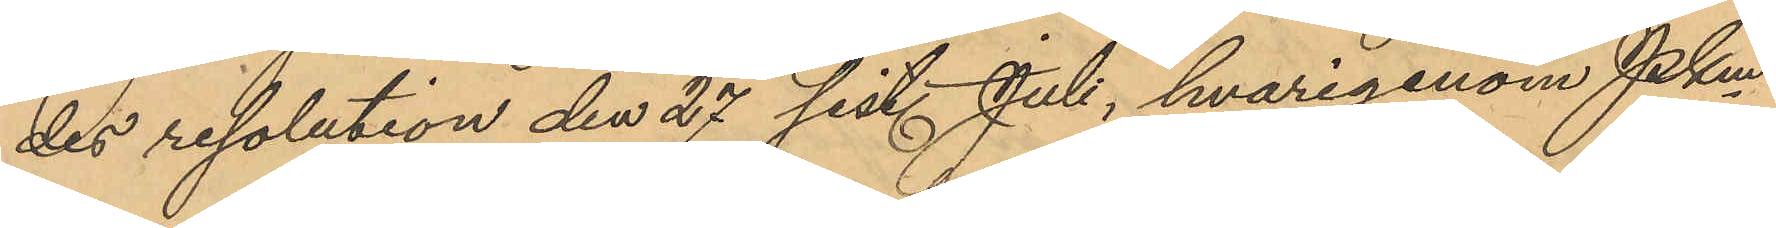des resolution den 27 sist. Juli, hvarigenom Pkm
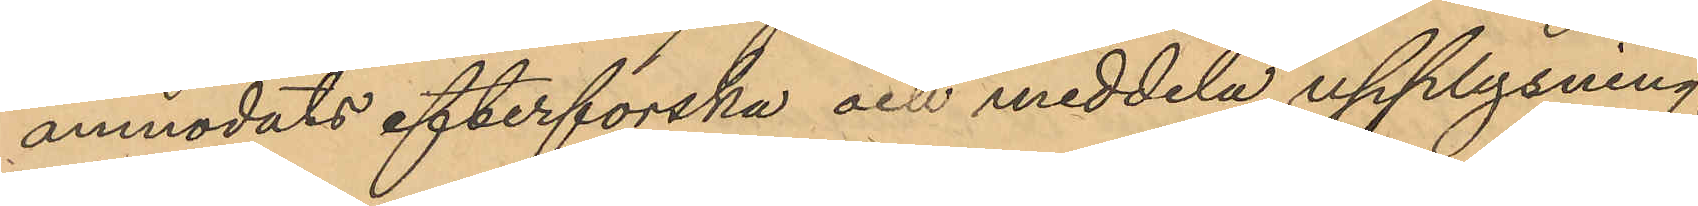anmodats efterforska och meddela upplysning,
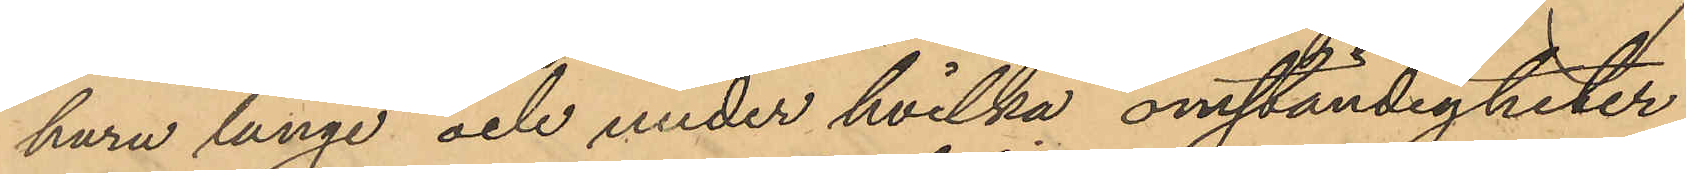huru länge och under hvilka omständigheter
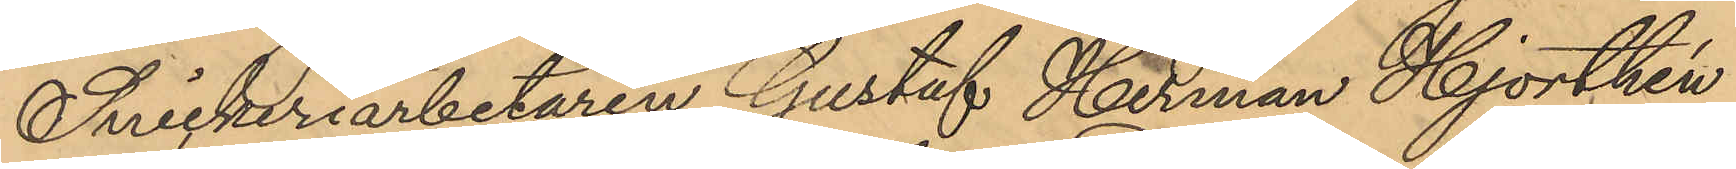Snickeriarbetaren Gustaf Herman Hjorthén
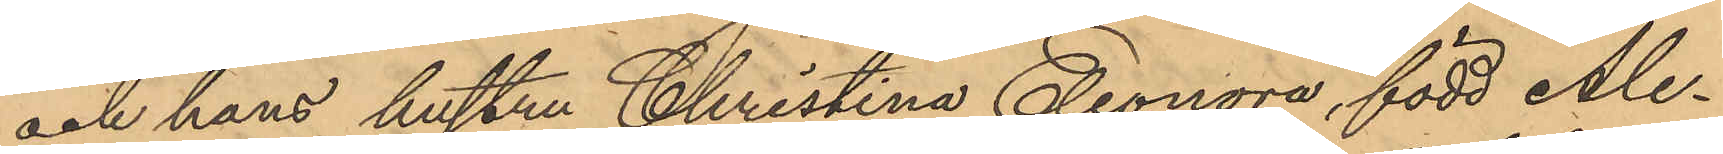och hans hustru Christina Eleonora, född Ale¬
